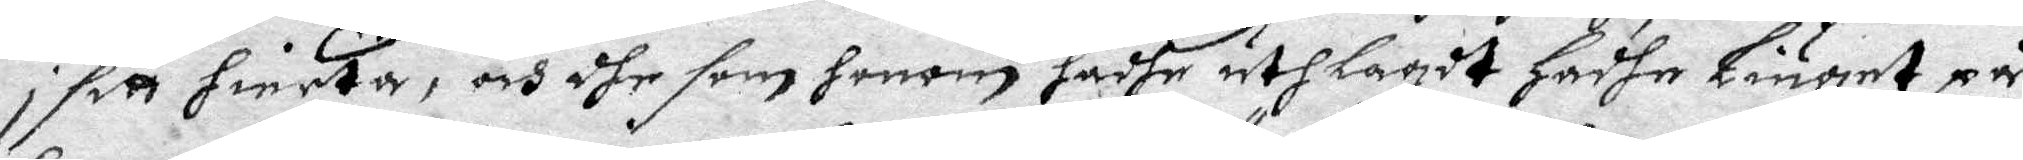i sitt hierta, och dhe som honom hadhe uthlagdt hadhe liuget på
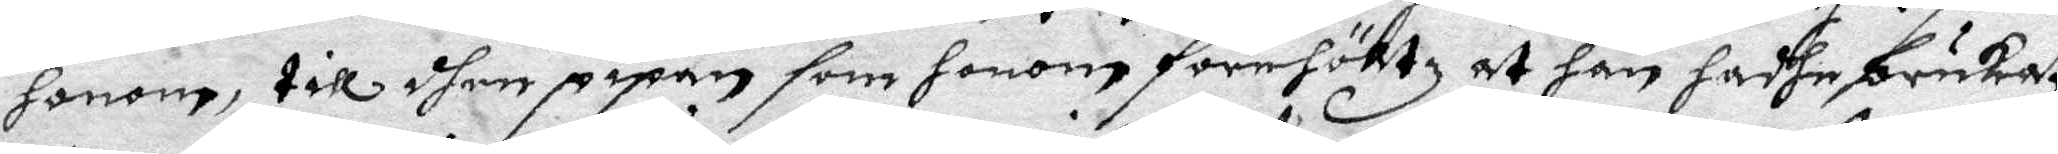honom, till dhen pipan som honom förehöltz at han hadhe brukat
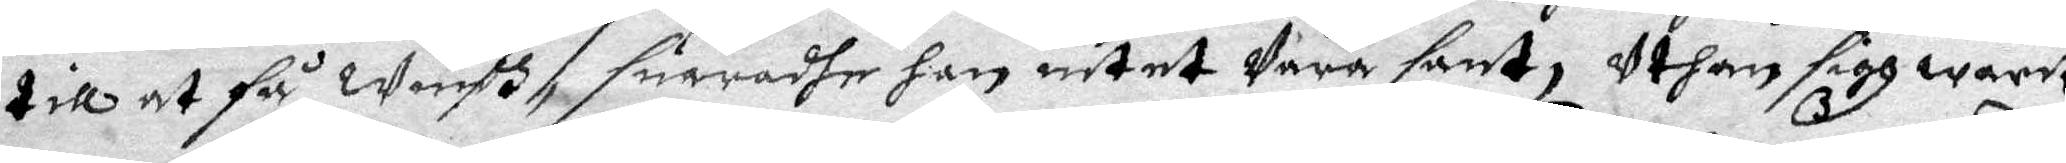till at så Windh, suaradhe han intet wara sant, Uthan sigh warit
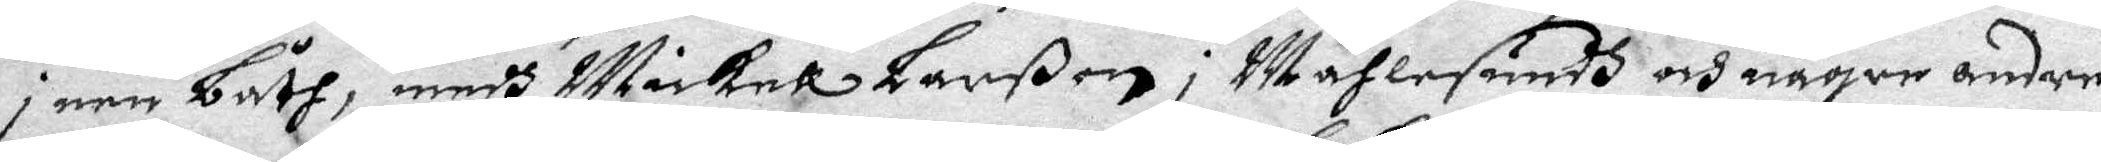ei een båth, medh Mickel Larßon i Måhlesundh och någre andra
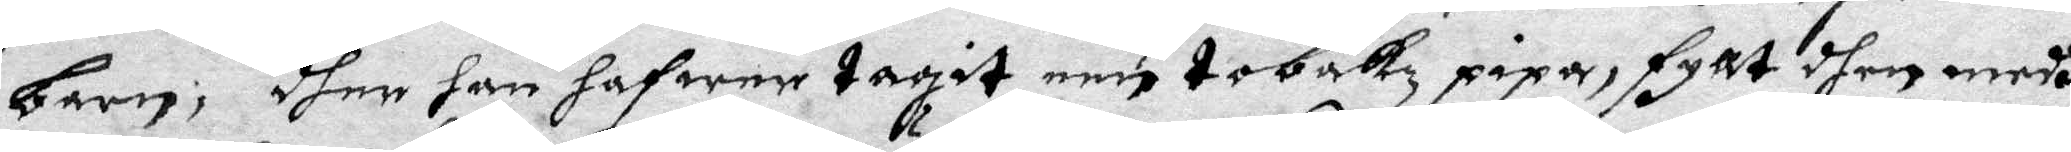barn; dher han hafwer tagit een tobakz pipa, fyllt dhen medh
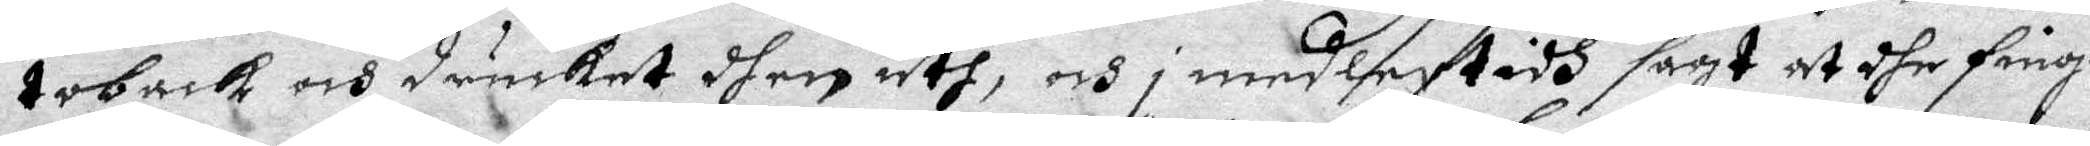toback och drucket ther uth, och i medlertidh sagt at dhe fingo
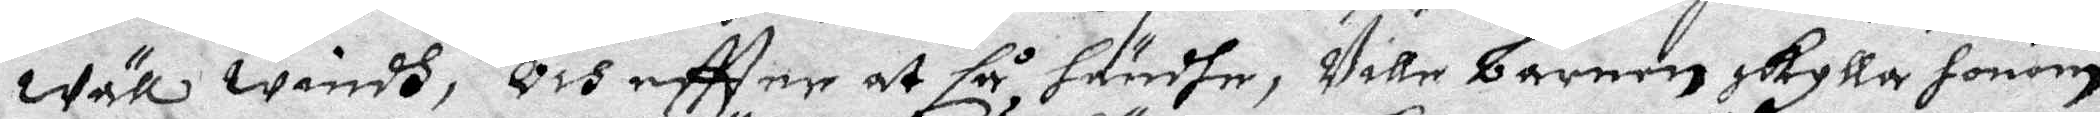wäll windh, och eftter at så händhe, wille barnen skylla honom
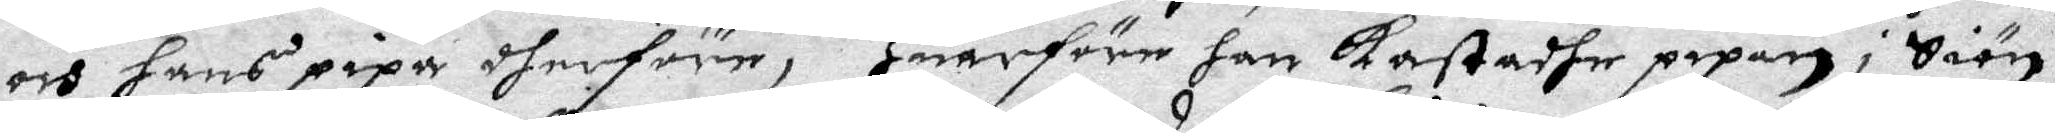och hans pipa dherföre, Huarföre han Kastadhe pipan i Siön,
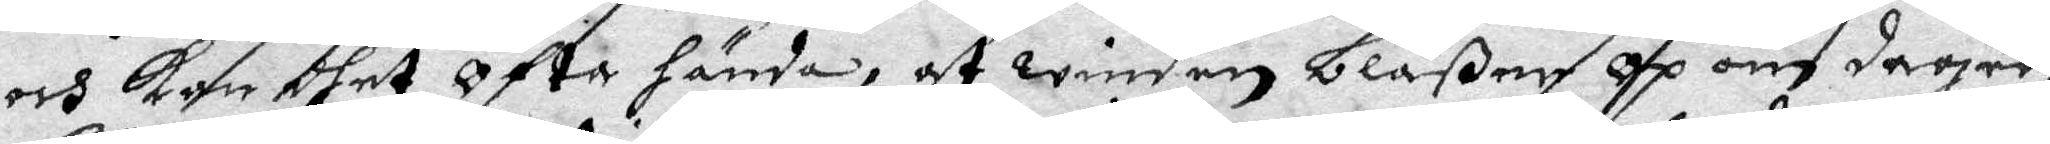och Kan dhet Ofta hända, at winden Blåßer op om dagen,
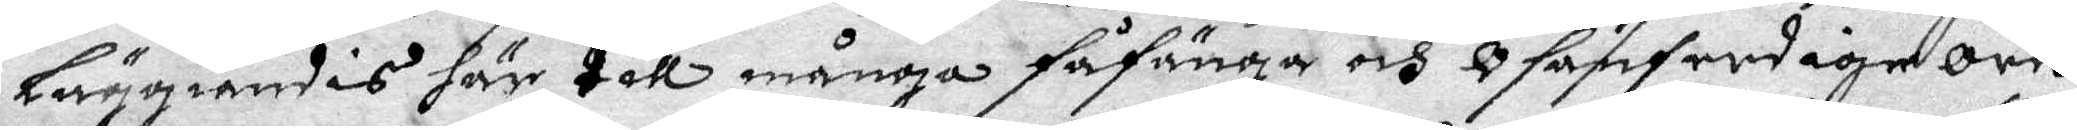Läggiandes här till många såsänga och osanferdiga Ordh,
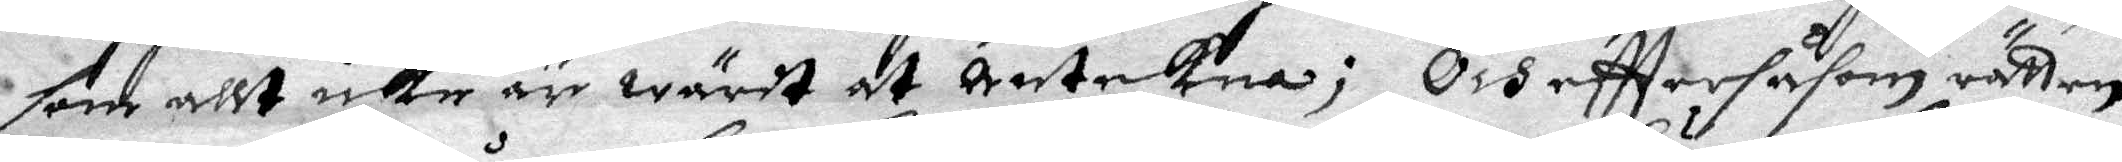som allt icke är wärt at antekna; Och eftter såsom rätten
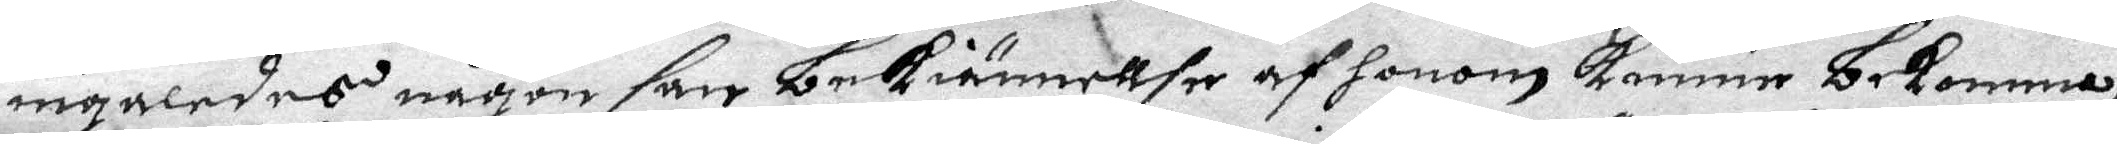ingaledes någon san bekiännellse af honom Kunna bekomma,
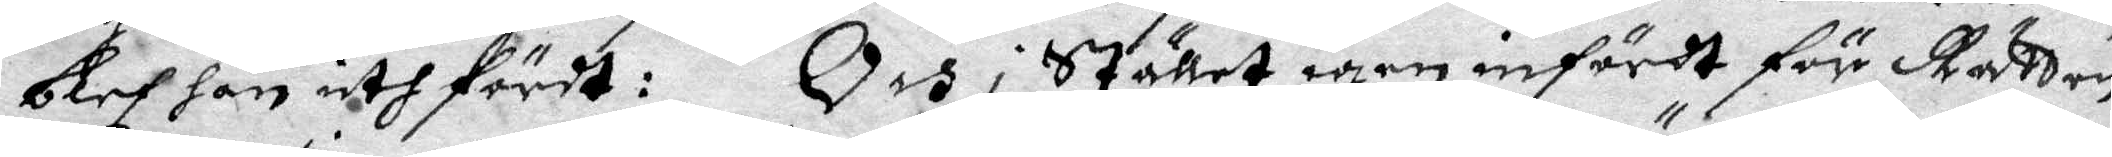blef han uthfördt: Och i Stället igen infördt för Rätten
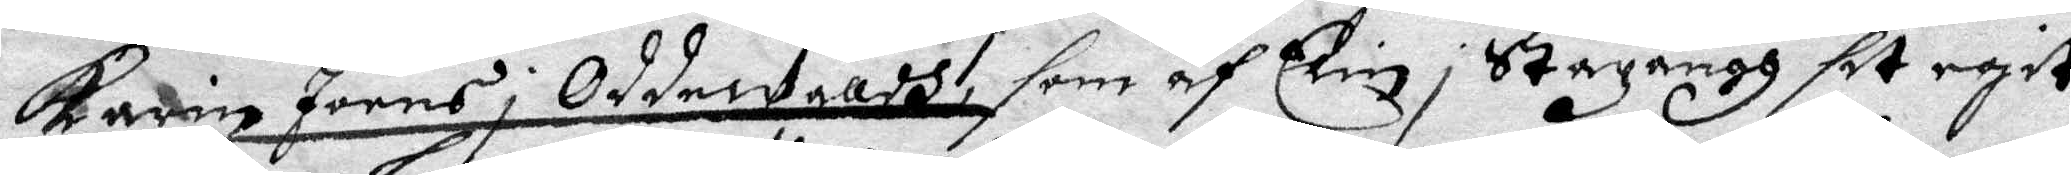Karin Joens OddeWradh, som af Elin i Stazängg sit egit
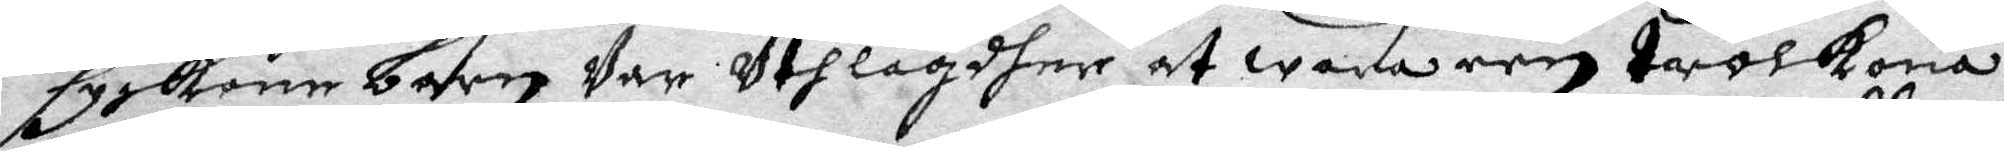syskone barn var uthlagdher at wara een trolkona,
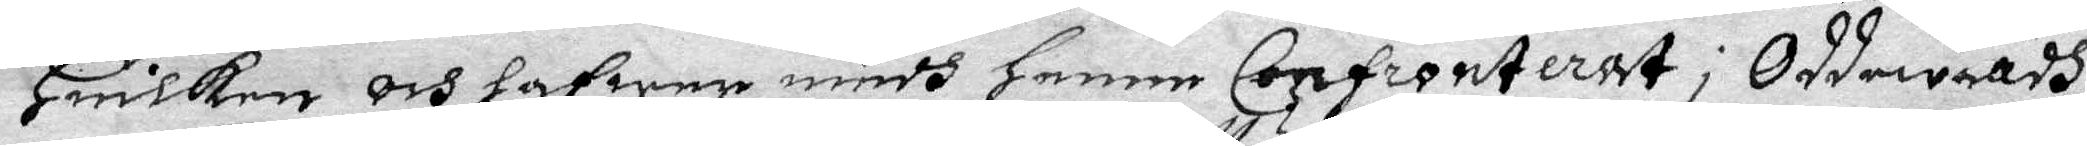Huilken och hafwer medh Henne Confronterat i Oddewadh
